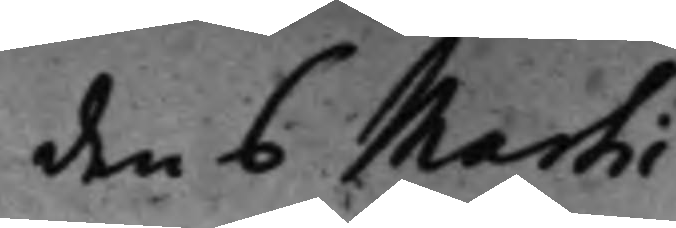den 6 Martii
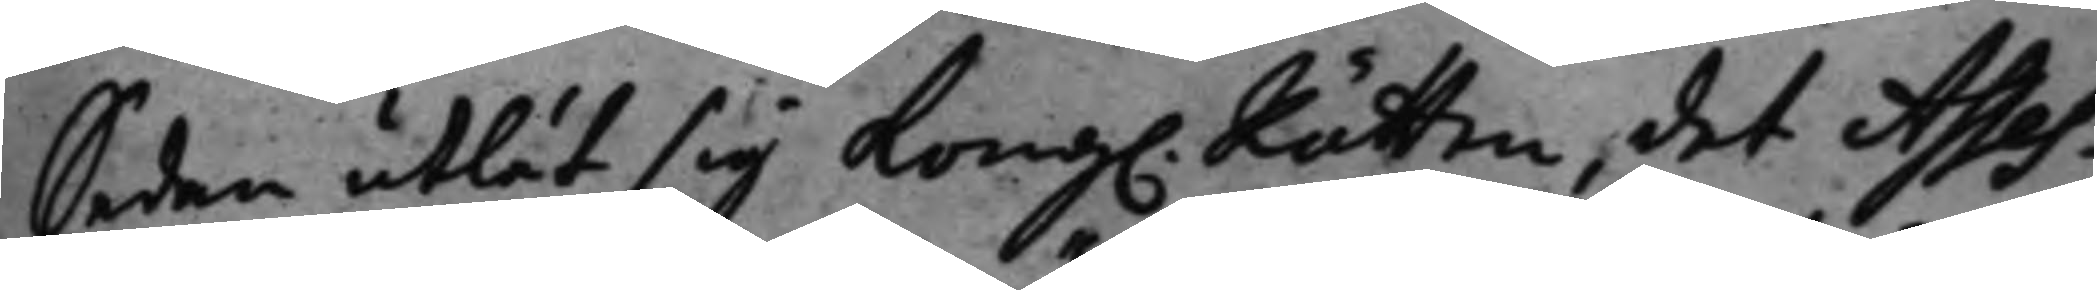Sedan utlät sig Kong. Rätten det Asses¬
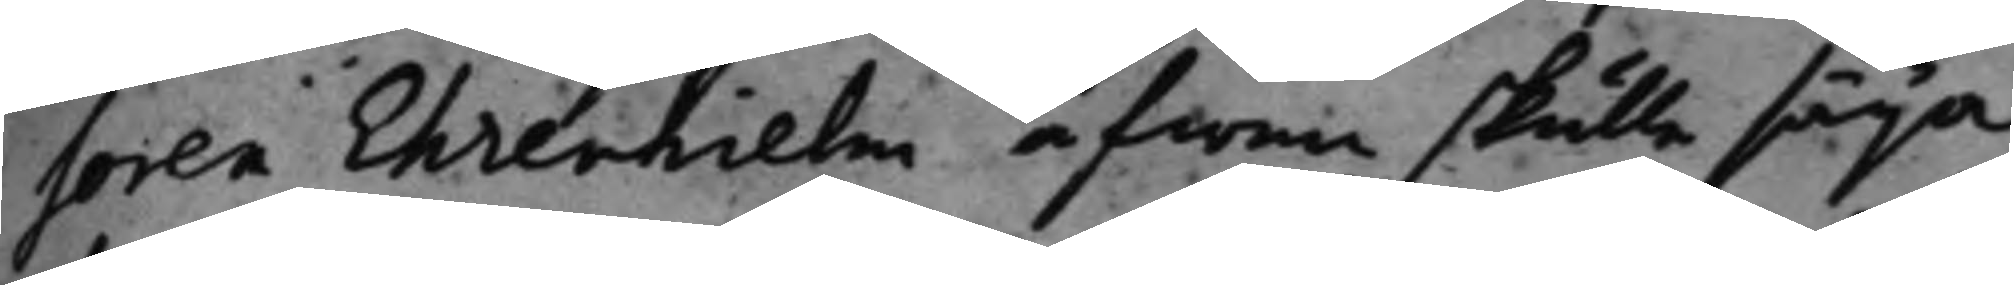soren Ehrenhielm äfwen skulle säga
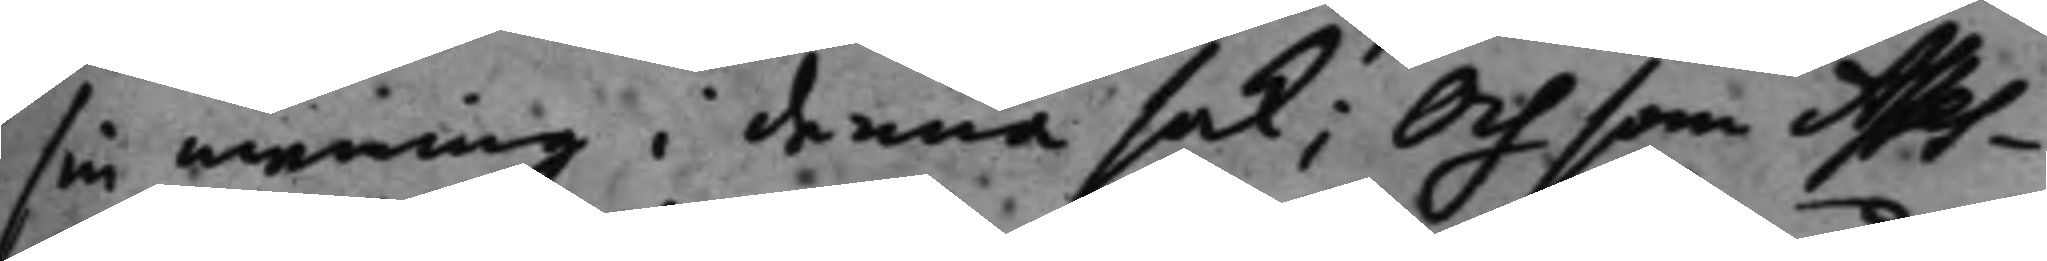sin mening i denna sak; Och som Asses¬
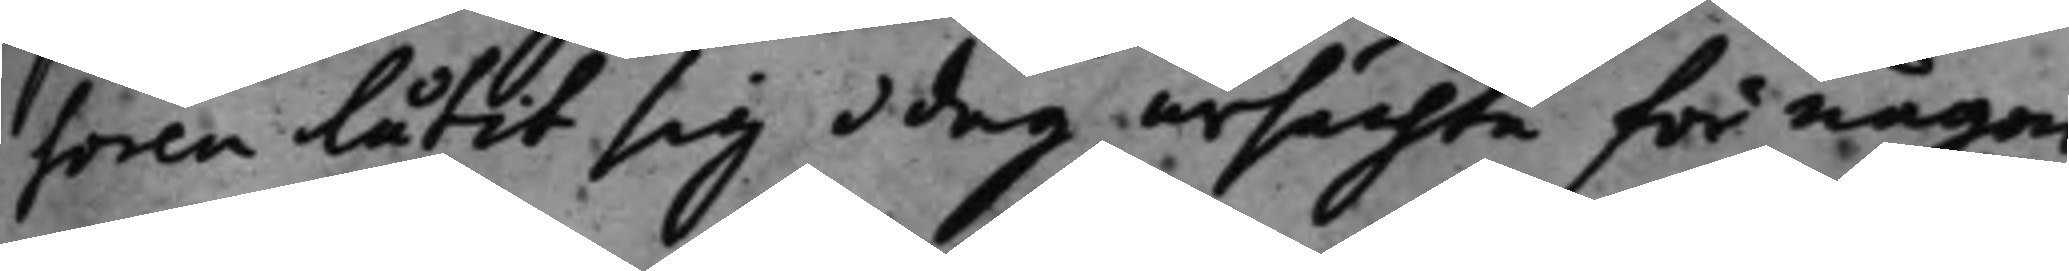soren låtit sig idag ursächta för någon
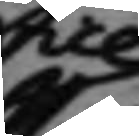till
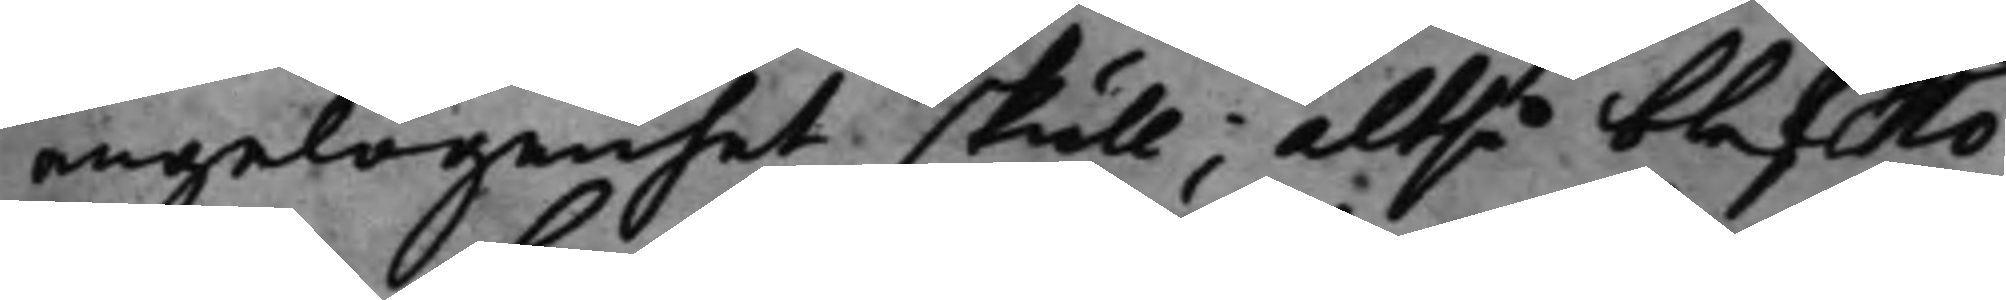angelägenhet skull; altså blef No¬
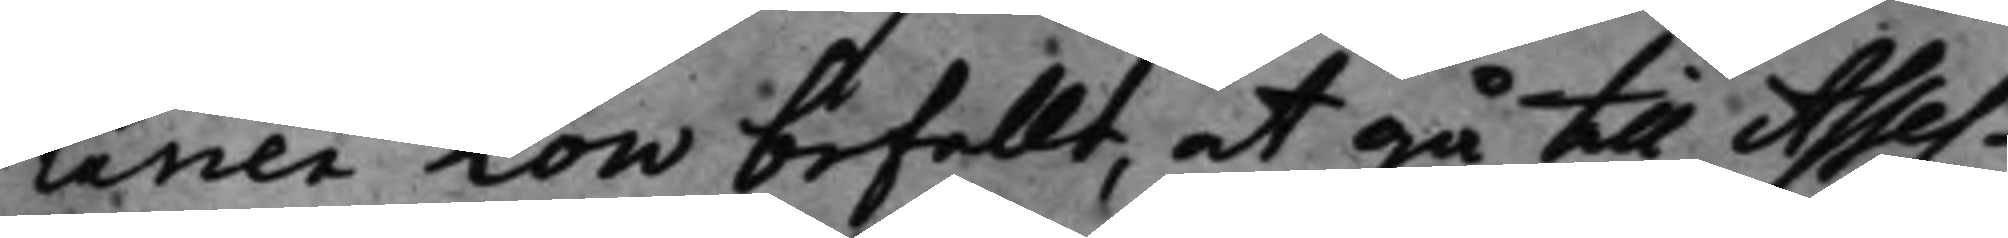tarien Low befallt at gå till Asses¬
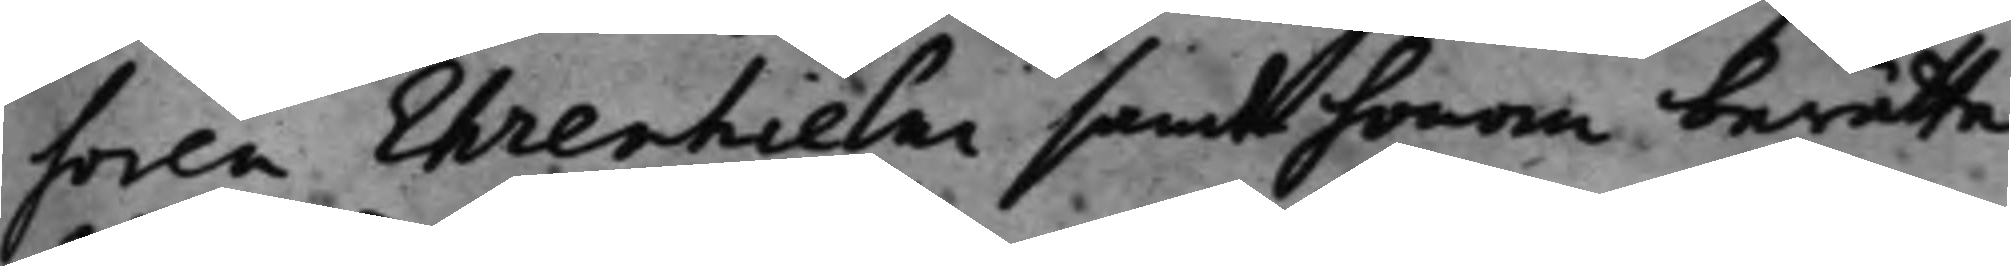soren Ehrenhielm samt honom berätta
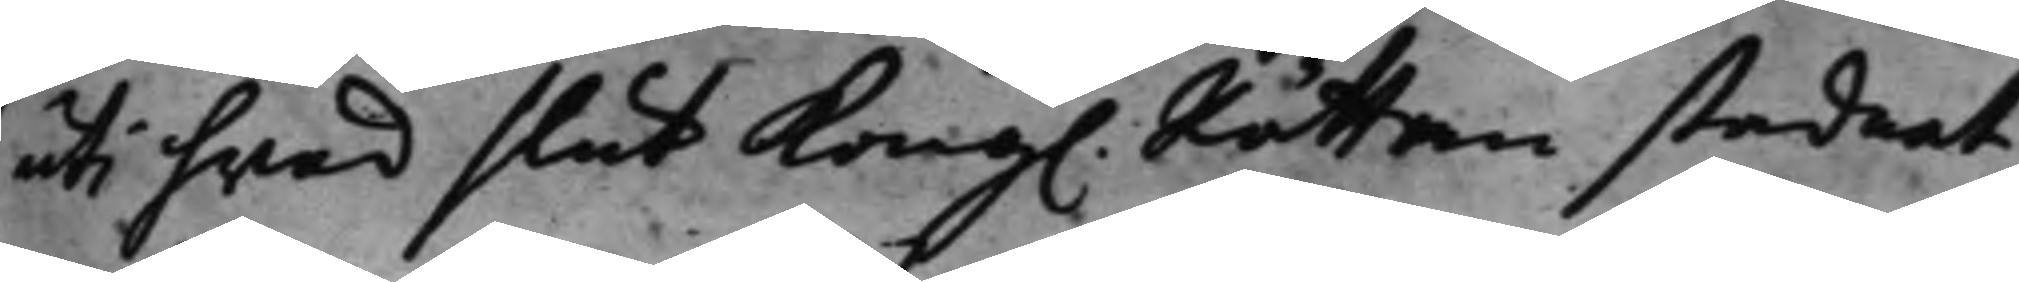uti hwad slut Kong. Rätten stadnat,
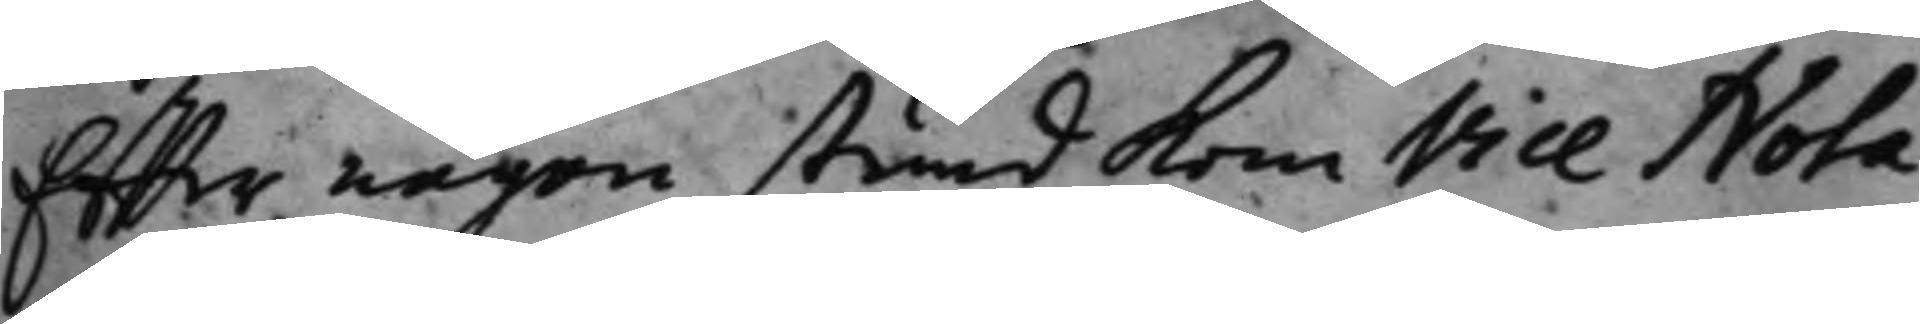Effter någon stund kom Vice Nota¬
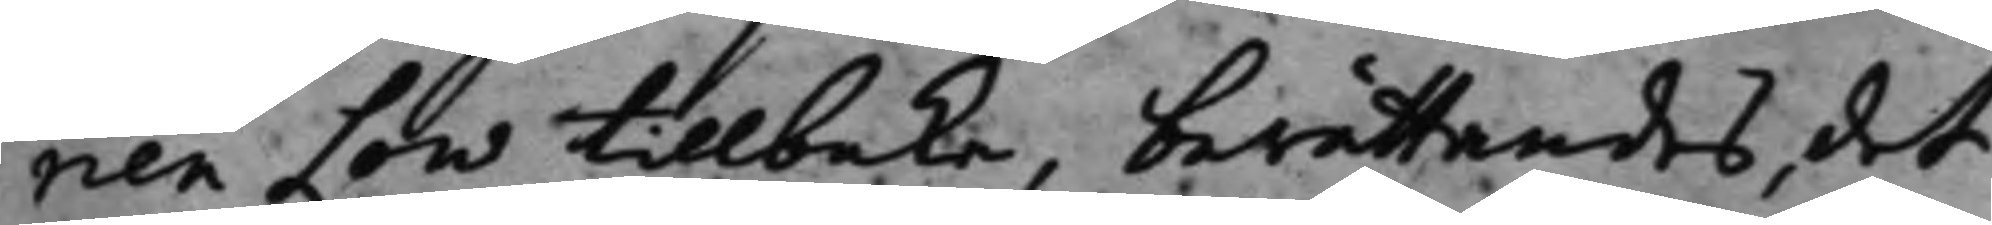rien Low tillbaka, berättandes, det
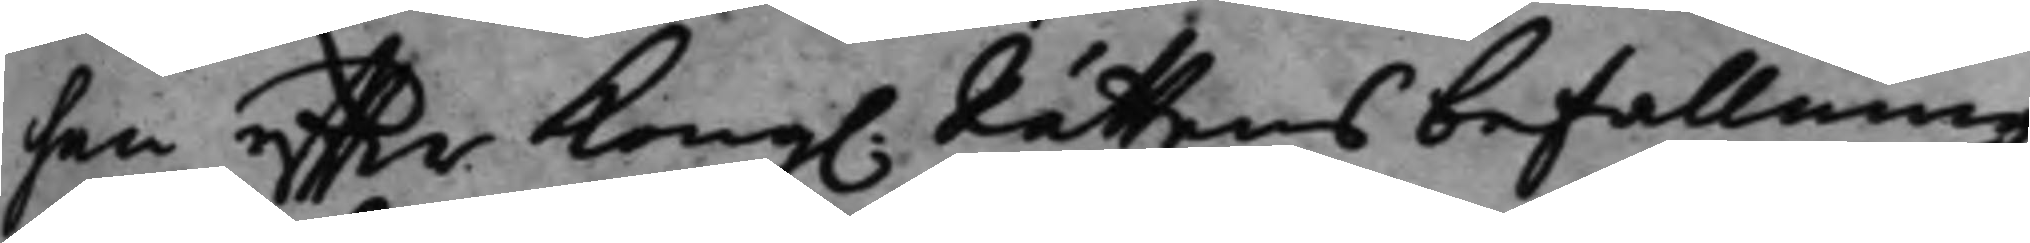han effter Kong. Rättens befallning
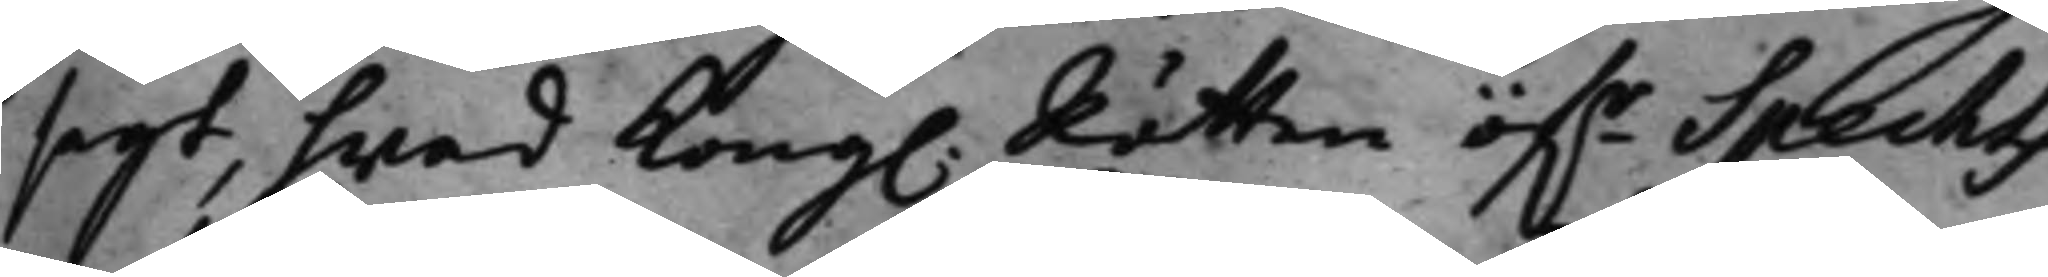sagt, hwad Kong. Rätten öf.r Spechts
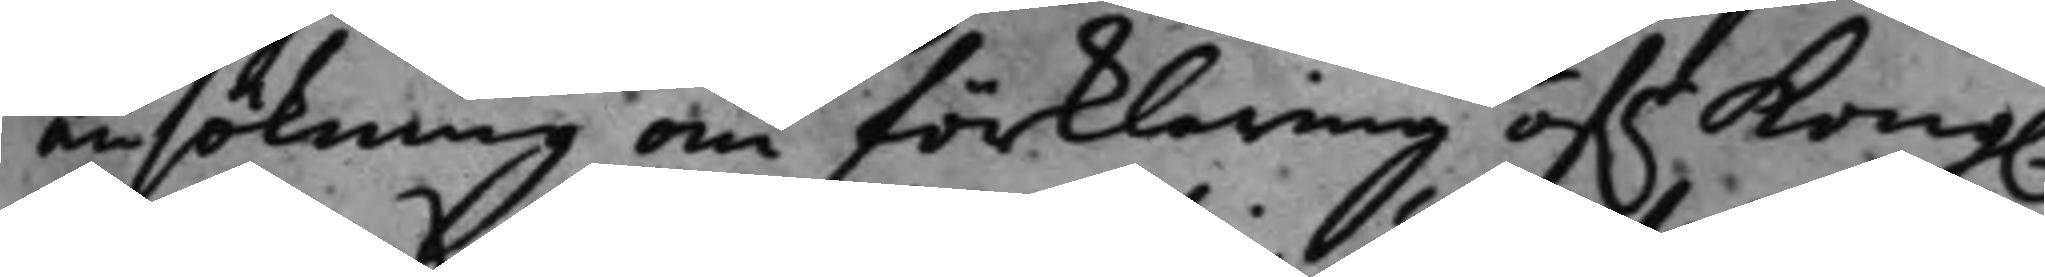ansökning om förklaring öf.r Kong.
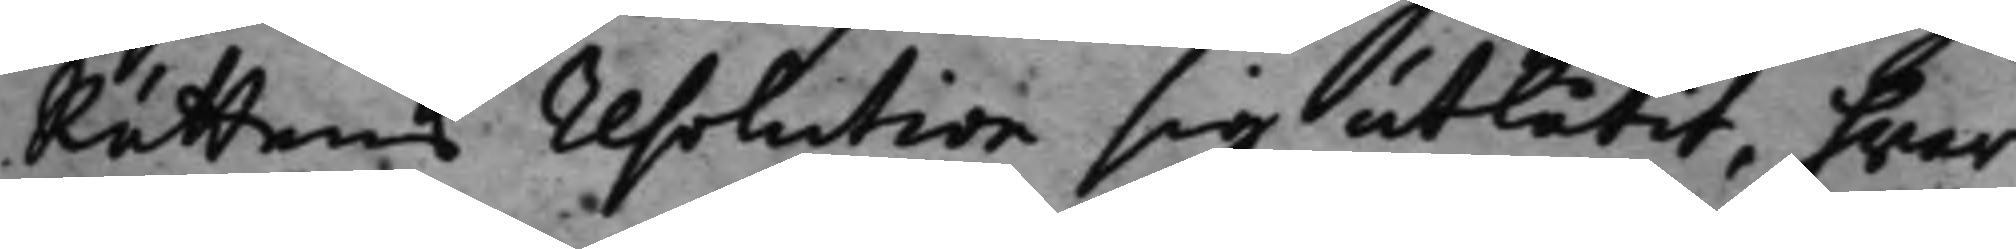Rättens resolution sig utlåtit, hwar¬
